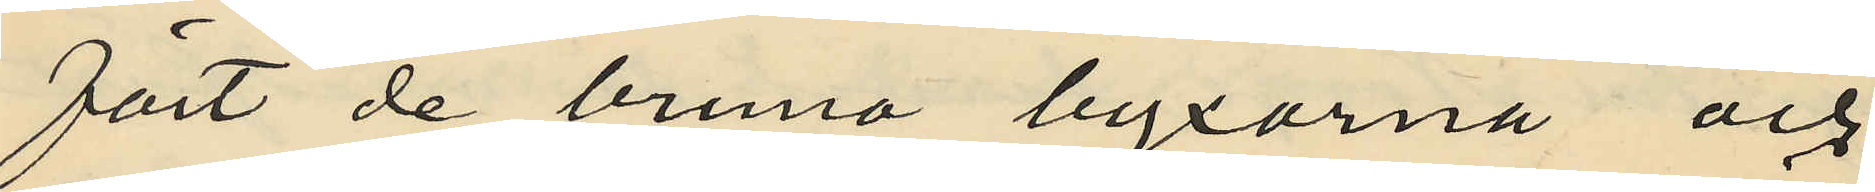fört de bruna byxorna och
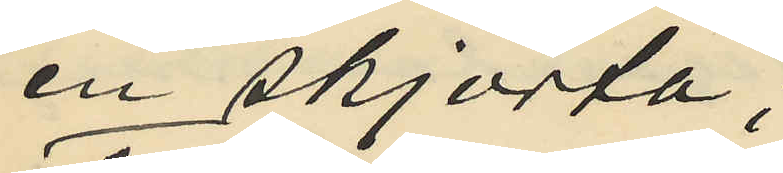en skjorta,
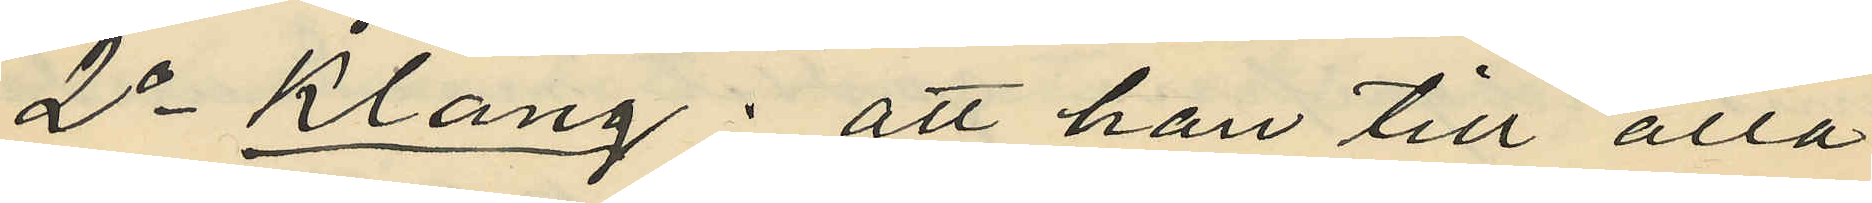2o Klang: att han till alla
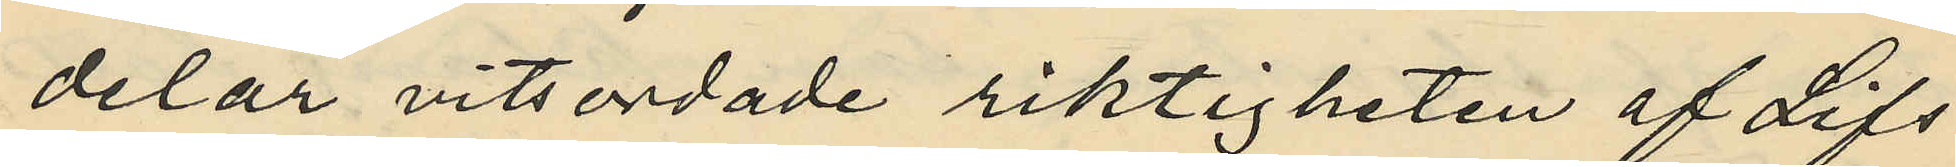delar vitsordade riktigheten af Lifs
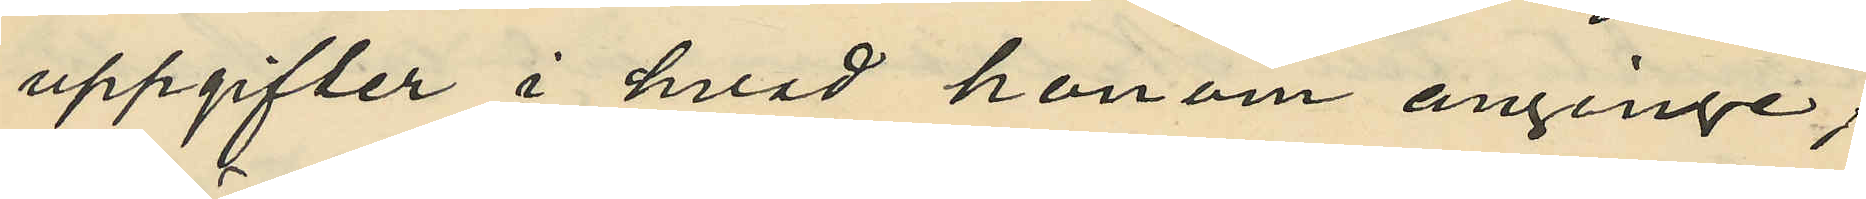uppgifter i hvad honom anginge;
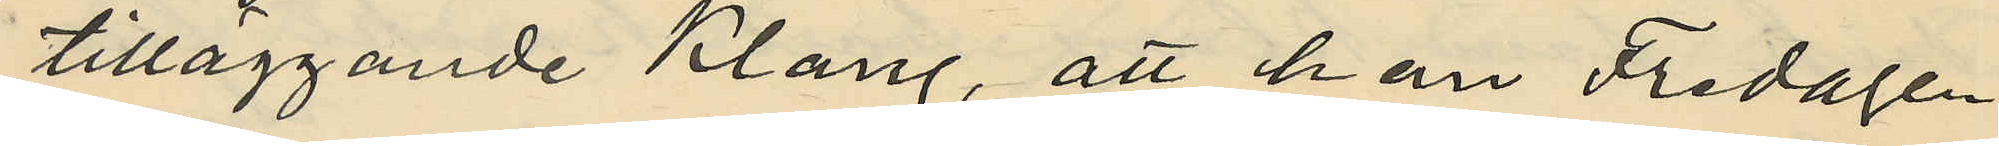tilläggande Klang, att han Fredagen
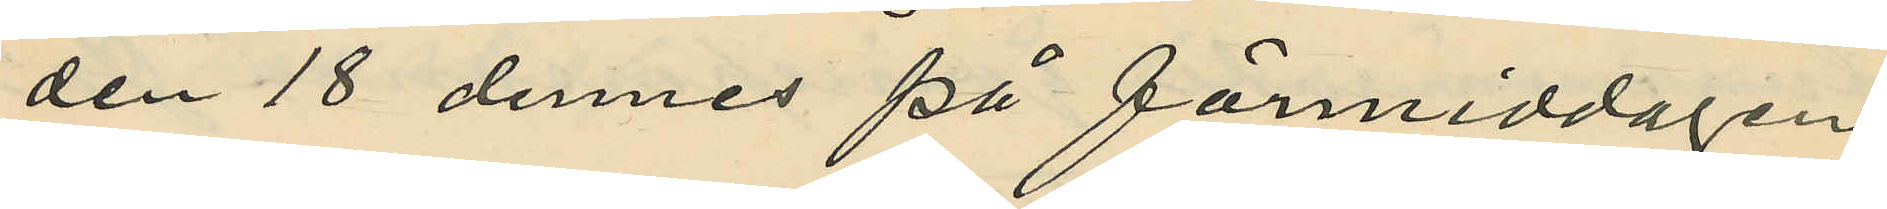den 18 dennes på förmiddagen
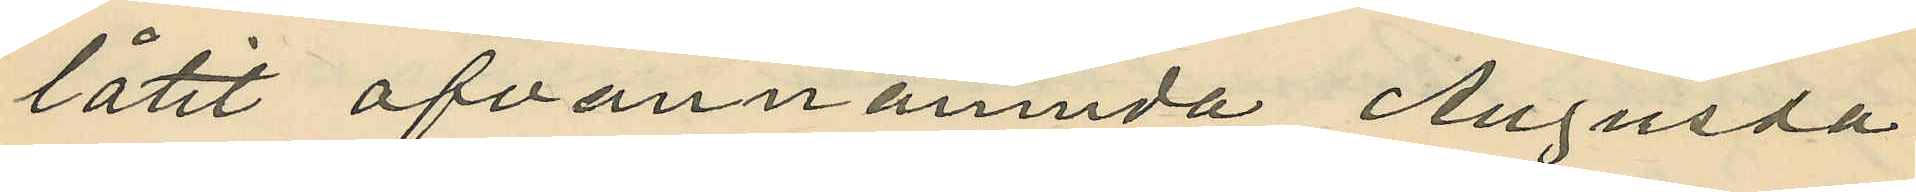låtit ofvannämnda Augusta
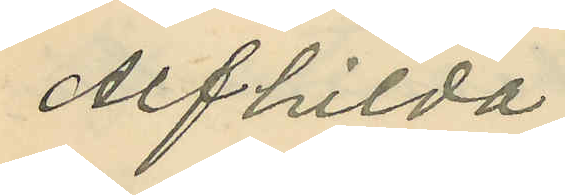Alfhilda
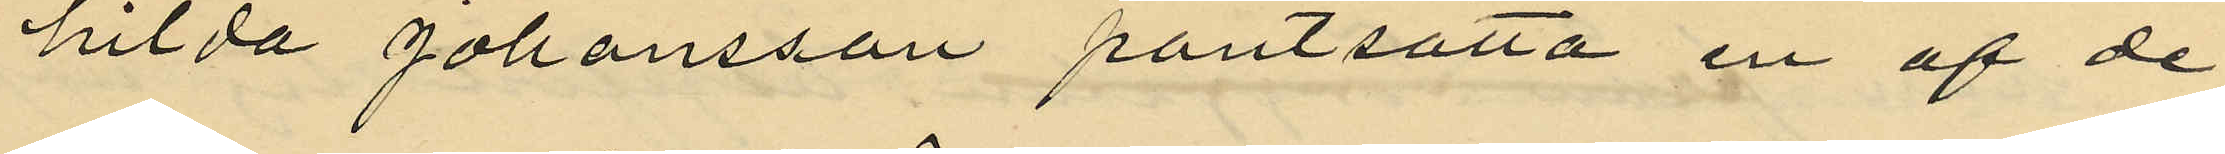hilda Johansson pantsätta en af de
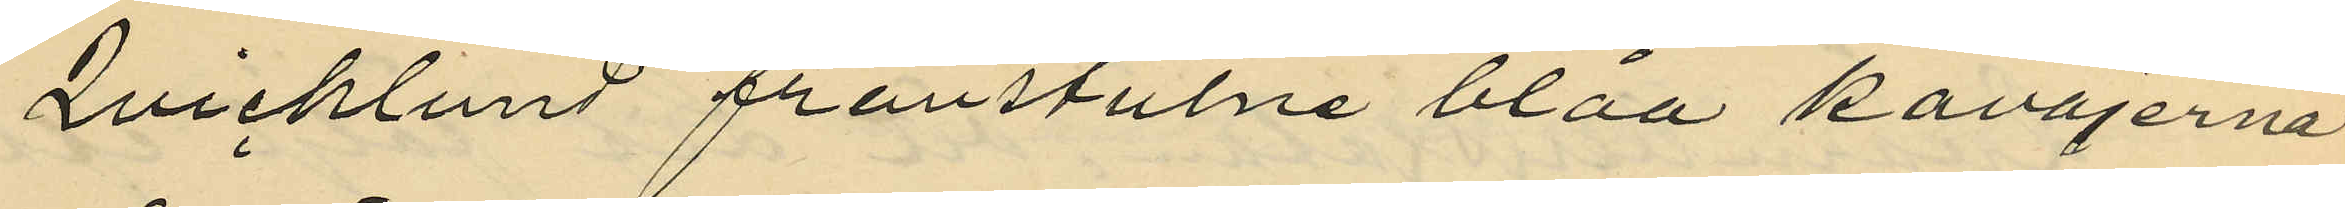Qvicklund frånstulne blåa kavajerna
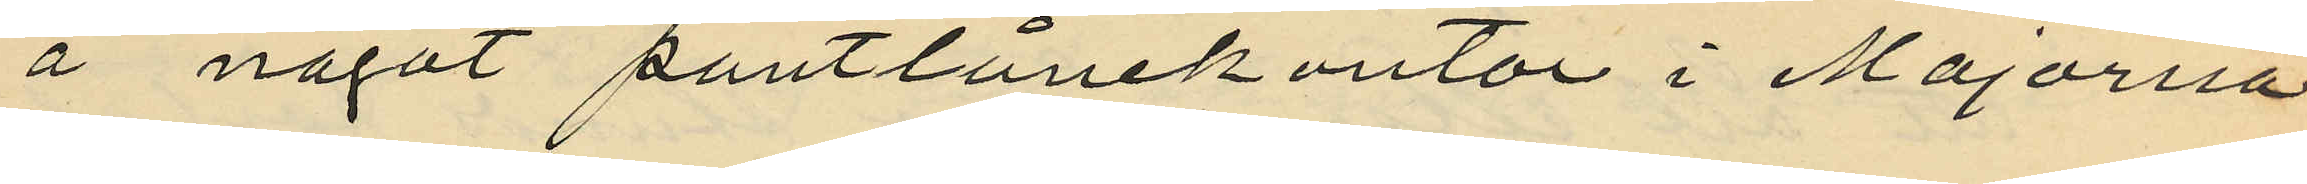å något pantlånekontor i Majorna
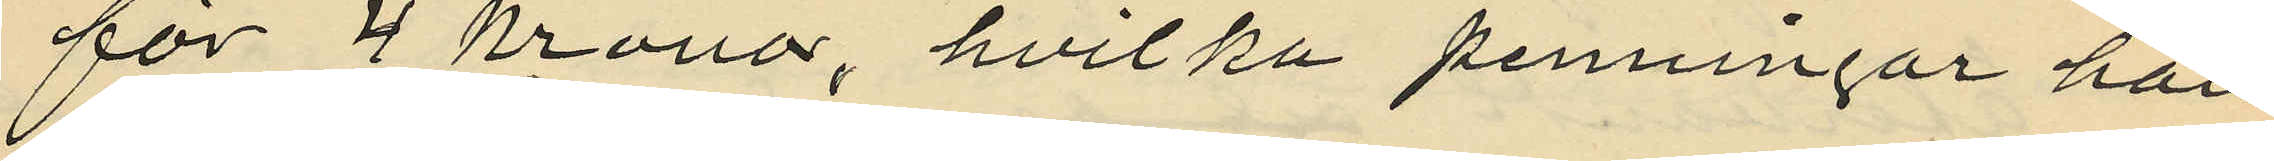för 4 Kronor, hvilka penningar han
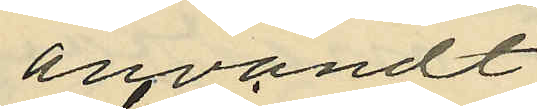användt
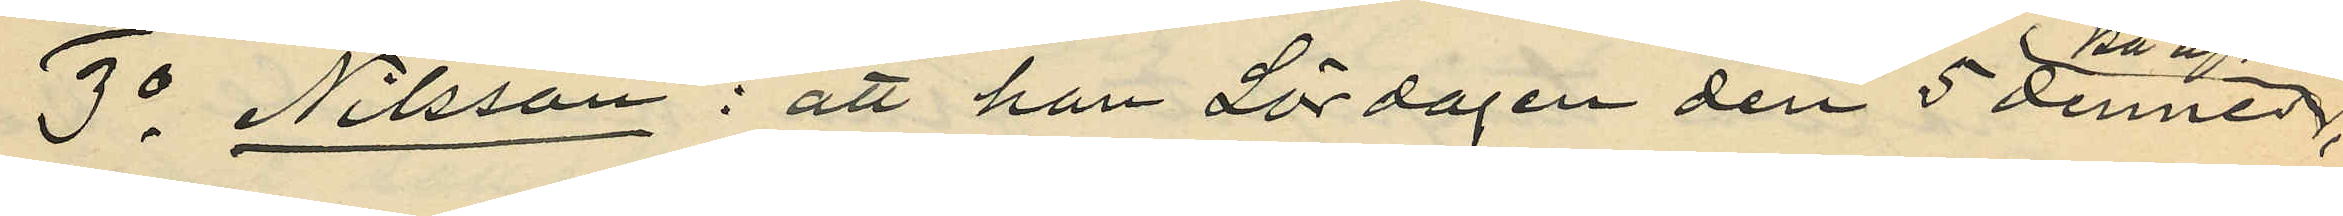3o  Nilsson: att han Lördagen den 5 dennes;
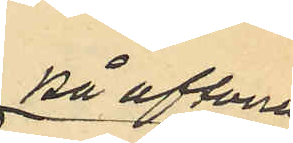på aftonen,
